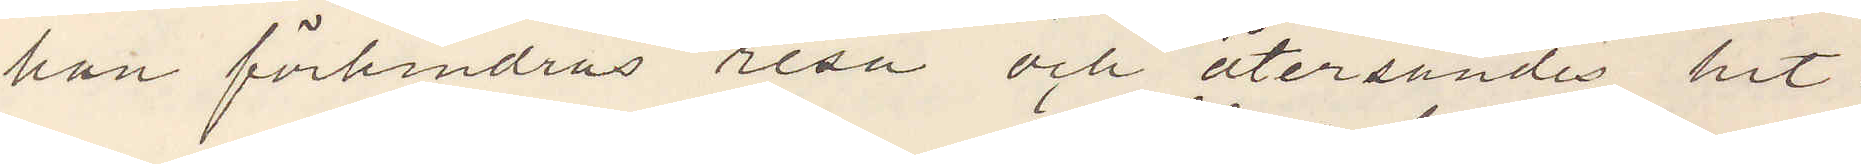han förhindras  resa och återsändes hit.
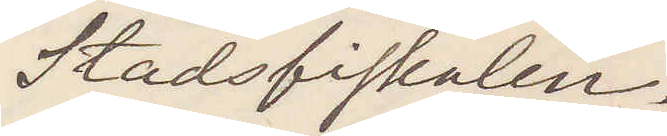Stadsfiskalen.
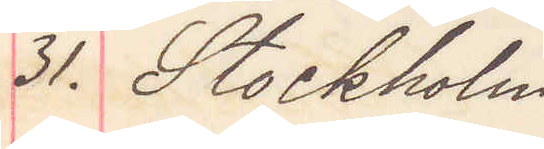31. Stockholm
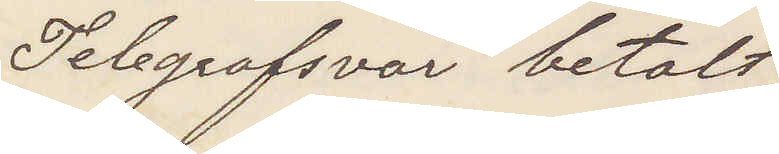Telegrafsvar betalt
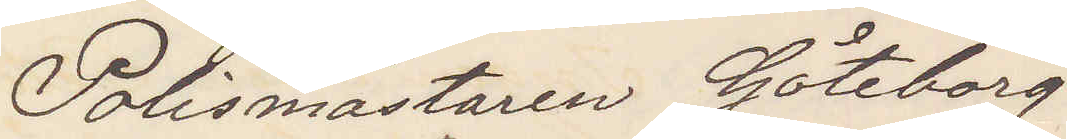Polismästaren Göteborg
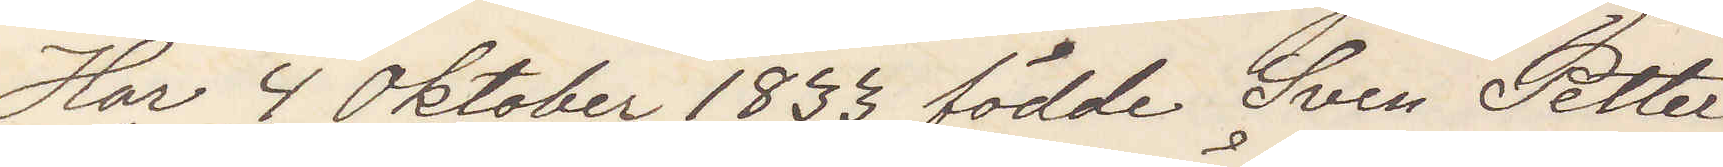Har 4 Oktober 1833 födde Sven Petter
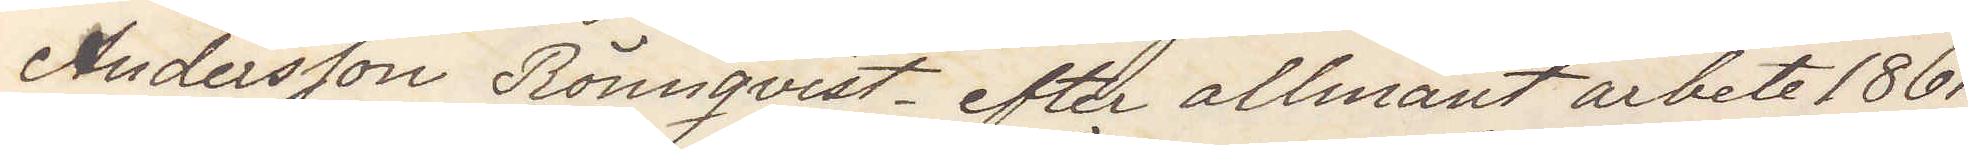Andersson Rönnqvist efter allmänt arbete 1861
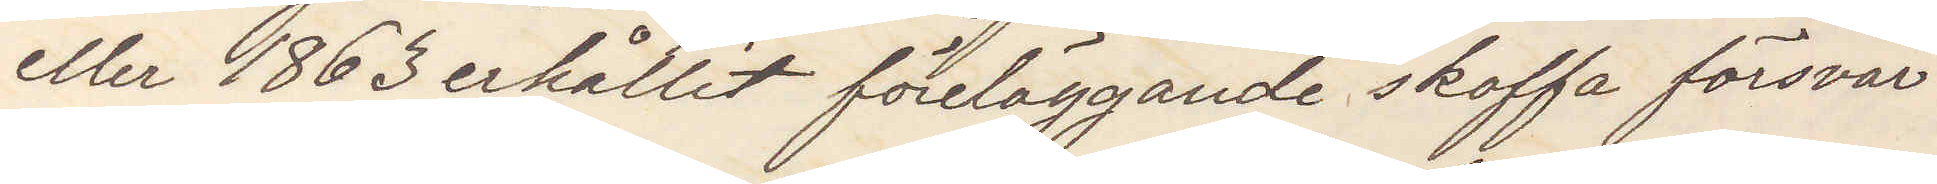eller 1863 erhållit föreläggande skaffa försvar.
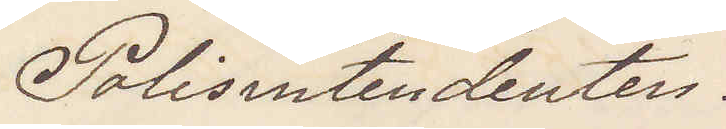Polisintendenten.
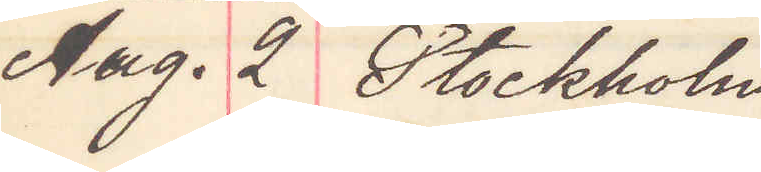Aug. 2 Stockholm
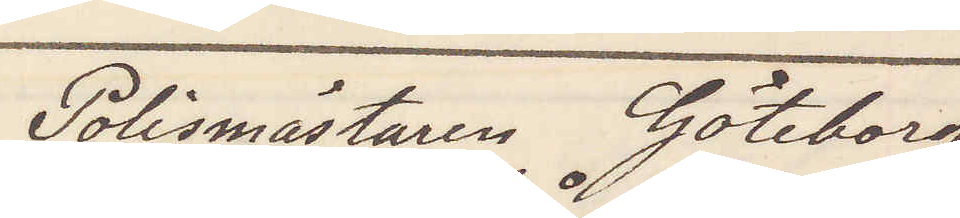Polismästaren Göteborg
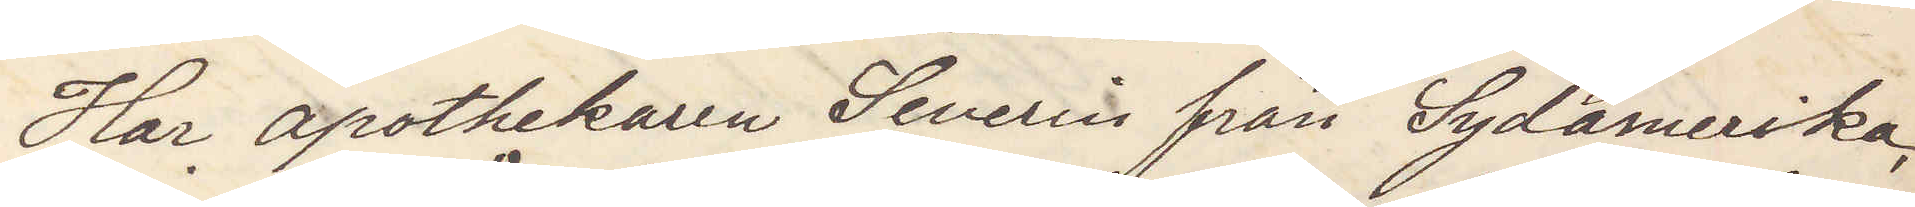Har apothekaren Severin från Sydamerika,
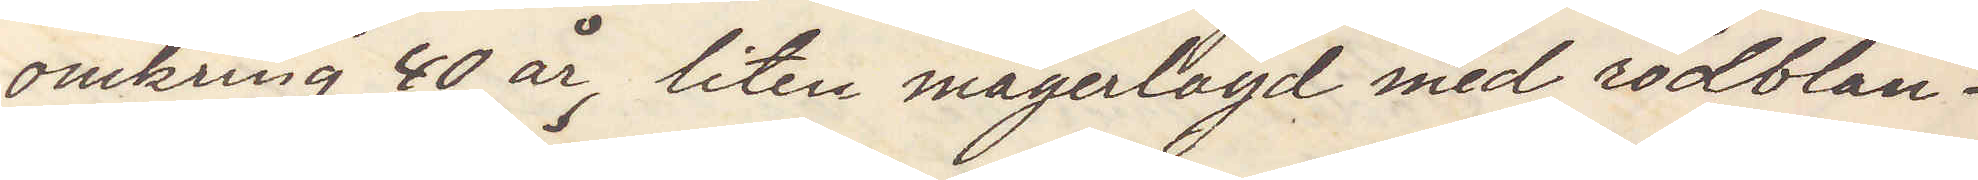omkring 40 år, liten magerlagd med rödblan¬
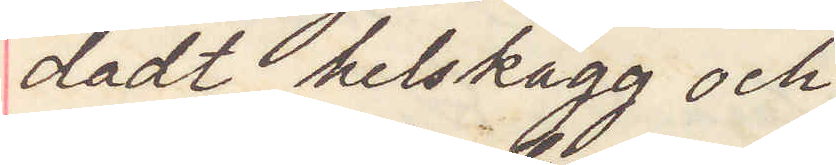dadt helskägg och
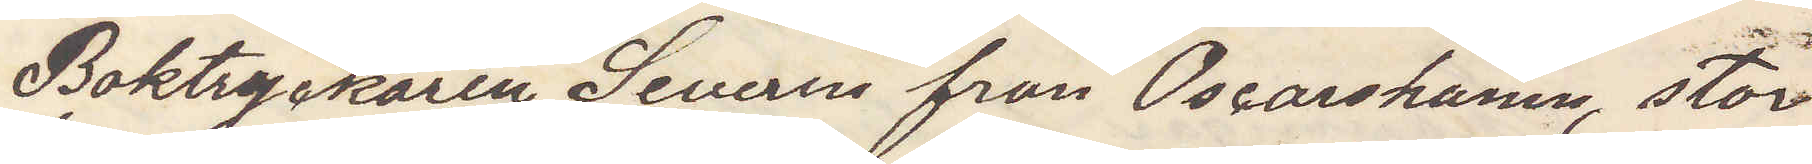Boktryckaren Severin från Oscarshamn, stor
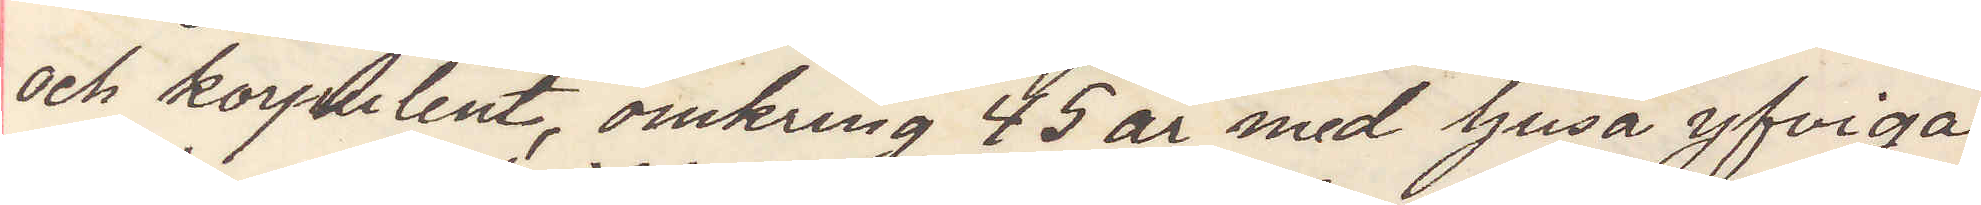och korpulent omkring 45 år med ljusa yfviga
